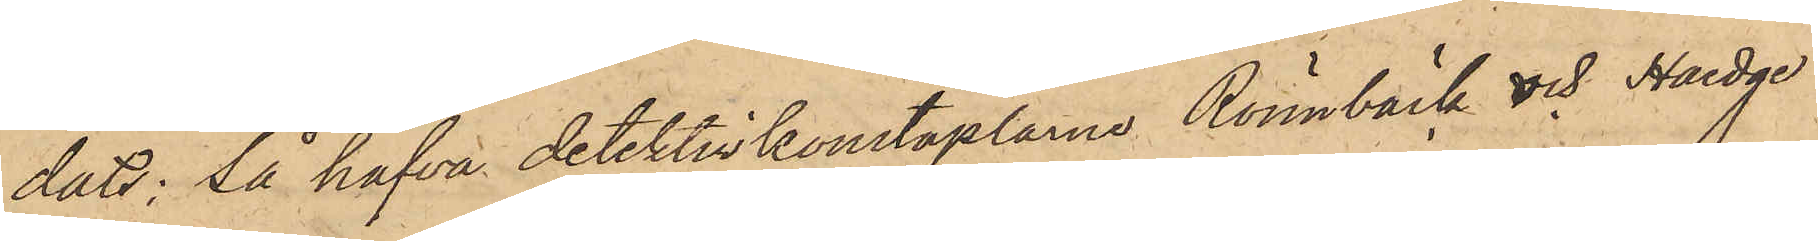dats: så hafva detektivkonstaplarne Rönnbäck och Haedge
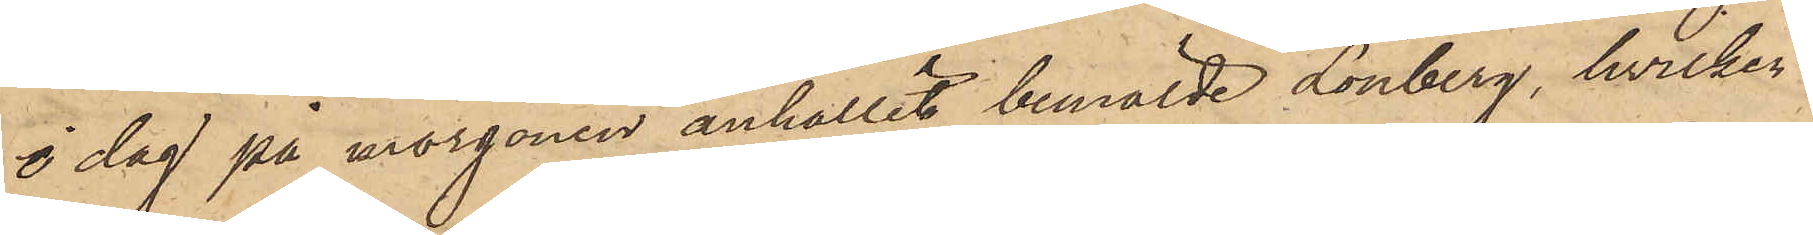i dag på morgonen anhållit bemälde Lönberg, hvilken
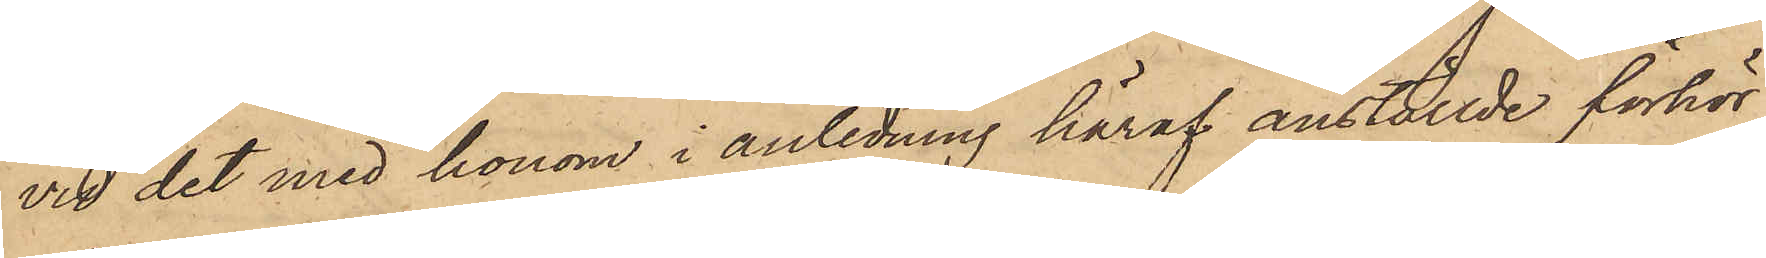vid det med honom i anledning häraf anställde förhör
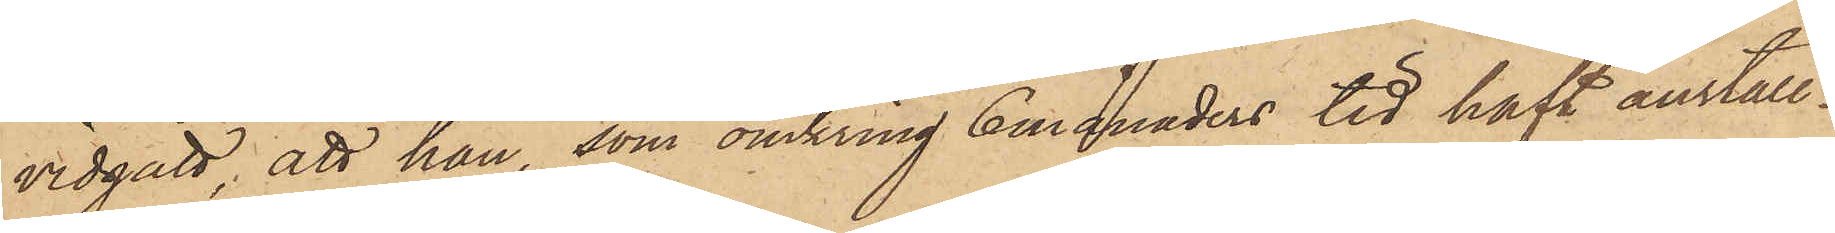vidgått, att han, som omkring 6 månaders tid haft anställ¬
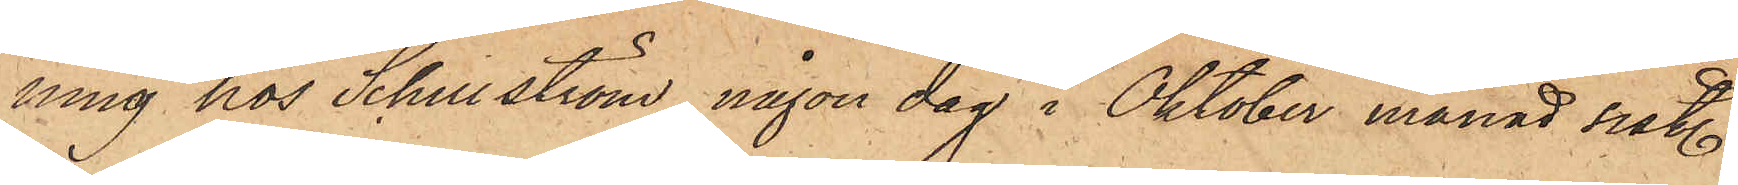ning hos Schillström, någon dag i Oktober månad sist.
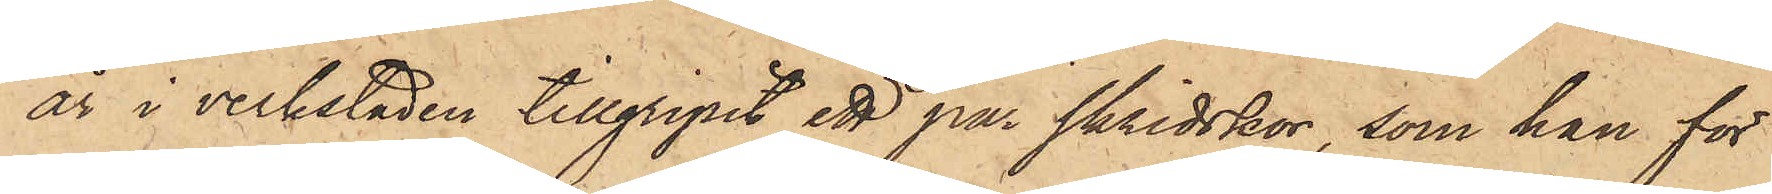år i verkstaden tillgripit ett par skridskor, som han för
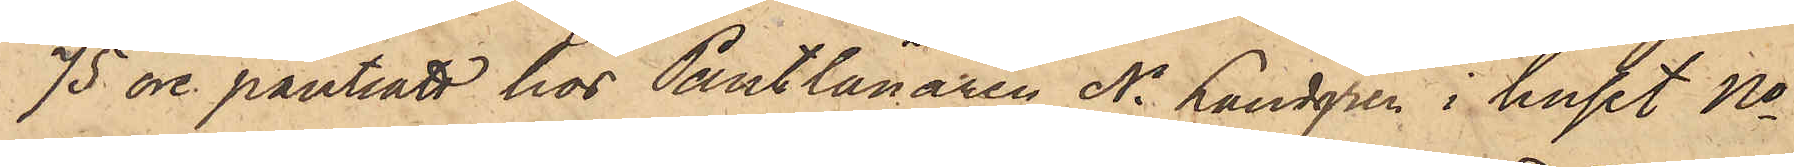75 öre pantsatt hos Pantlånaren N. Landgren i huset No
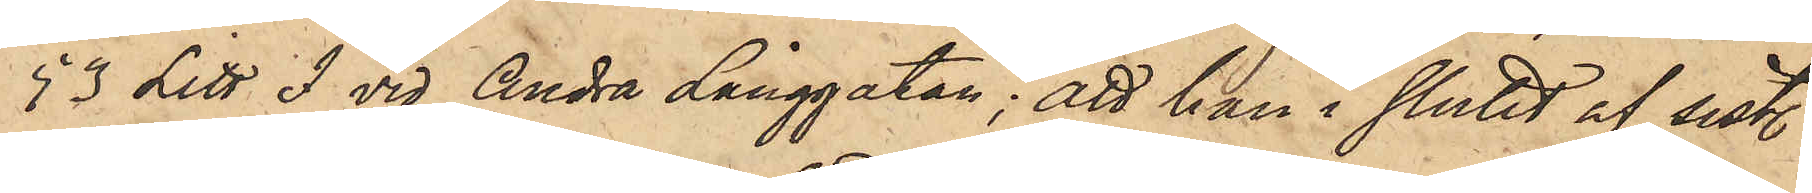93 Litt. F vid Andra Långgatan; att han i slutet af sist.
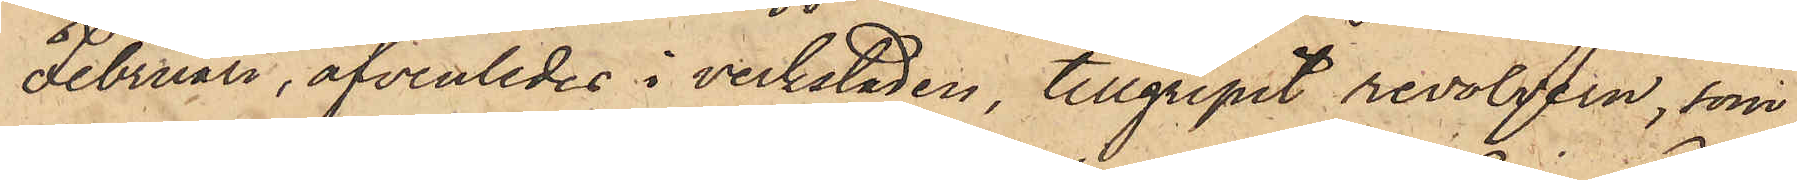Februari, äfvenledes i verkstaden, tillgripit revolvern, som
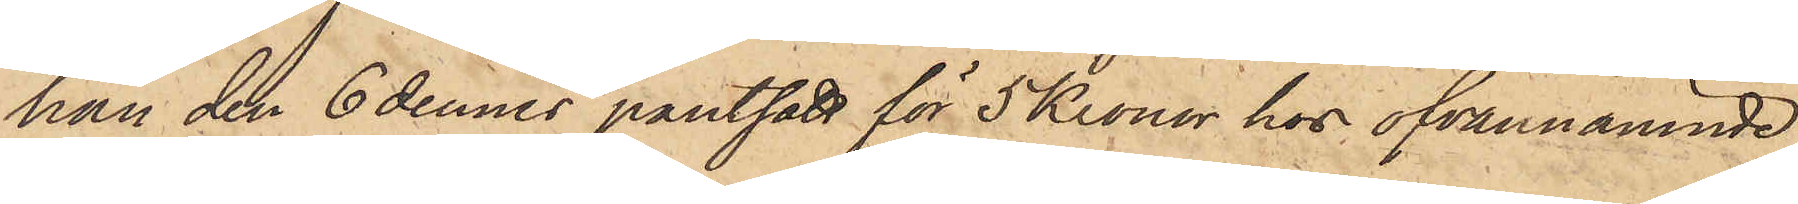han den 6 dennes pantsatt för 5 Kronor hos ofvannämnde
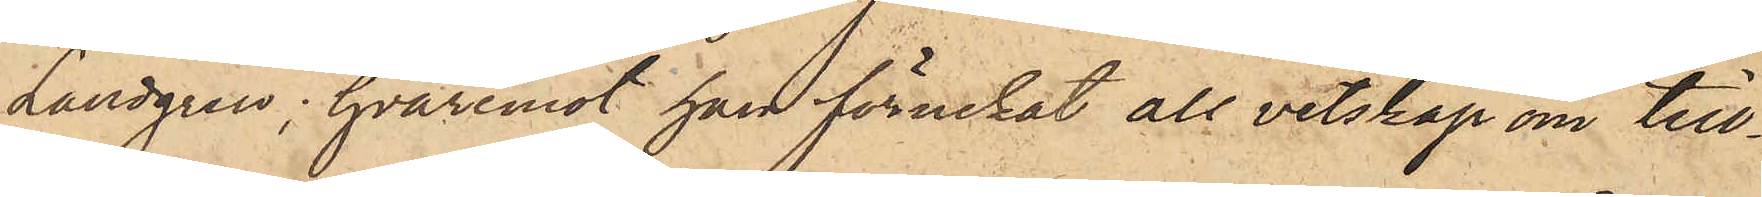Landgren, hvaremot han förnekat all vetskap om till¬
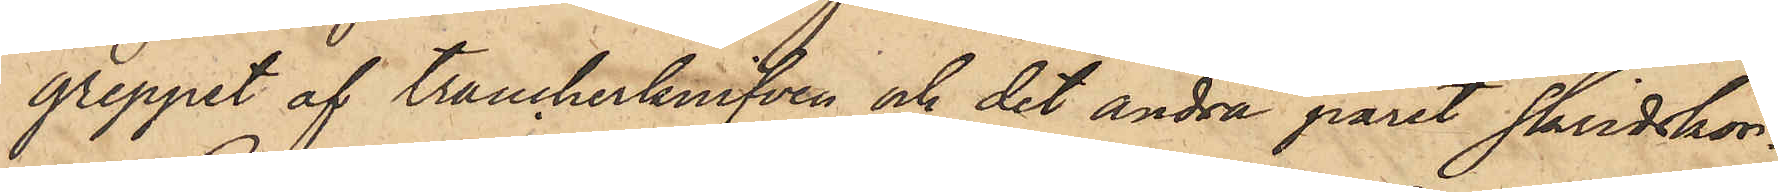greppet af trancherknifven och det andra paret skridskor.
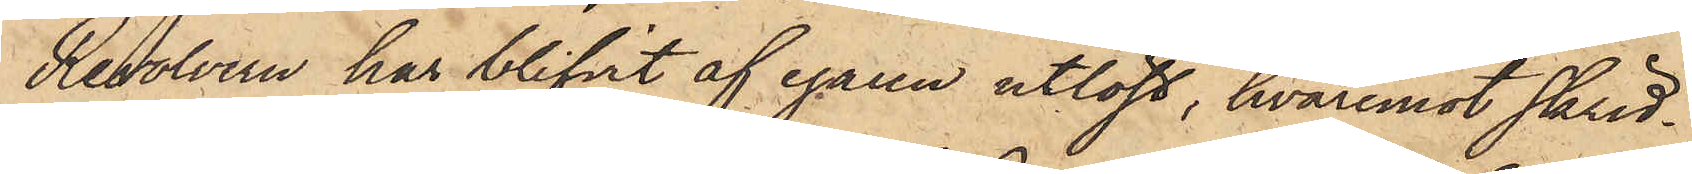Revolvern har blifvit af egaren utlöst, hvaremot skrid¬
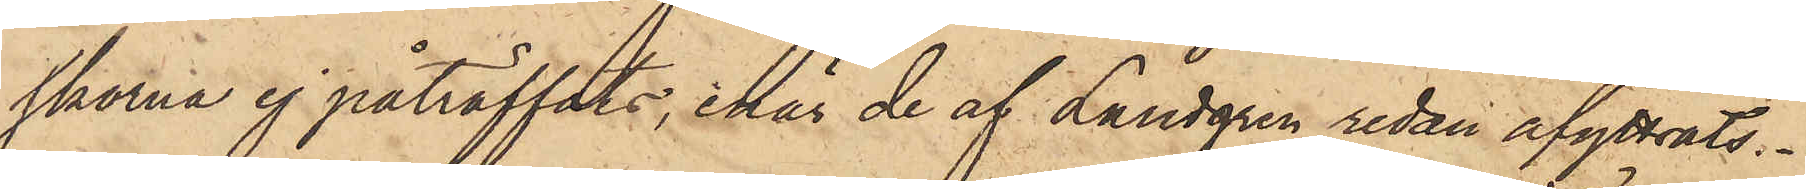skorna ej påträffats, enär de af Landgren redan afyttrats.
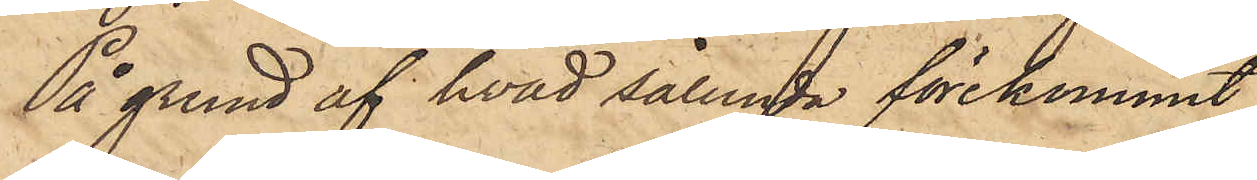På grund af hvad sålunda förekommit
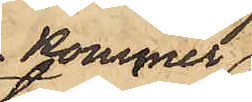kommer
